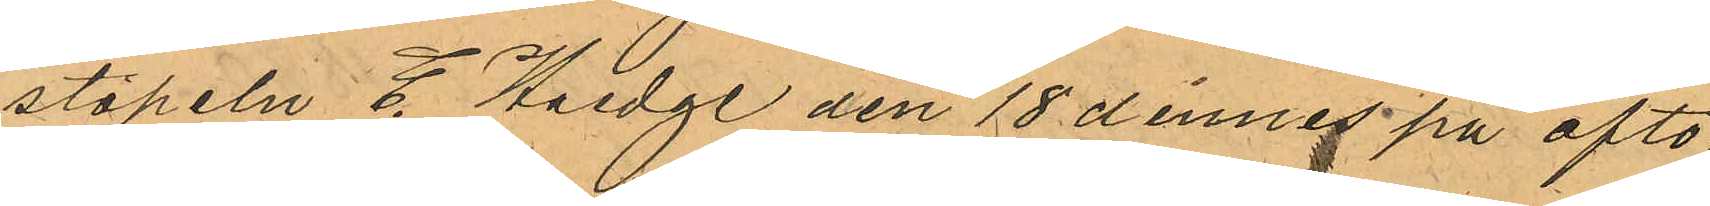staplen E. Haedge den 18 dennes på afto¬
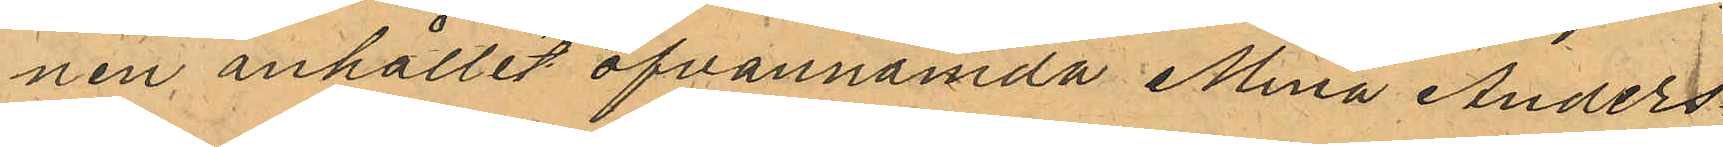nen anhållit ofvannämda Mina Anders¬
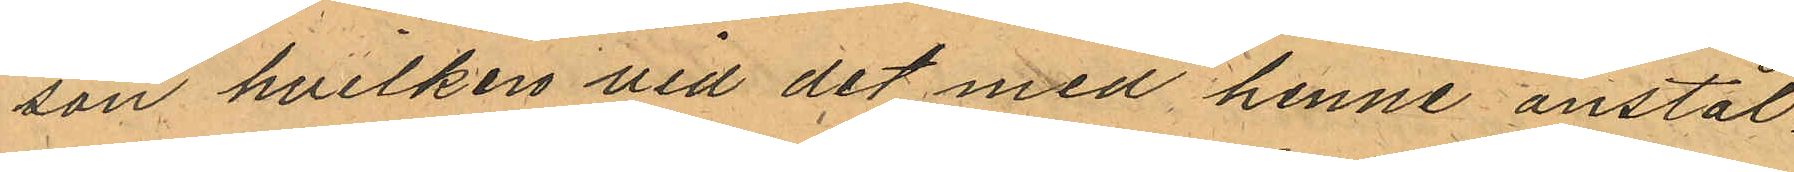son hvilken vid det med henne anstäl¬
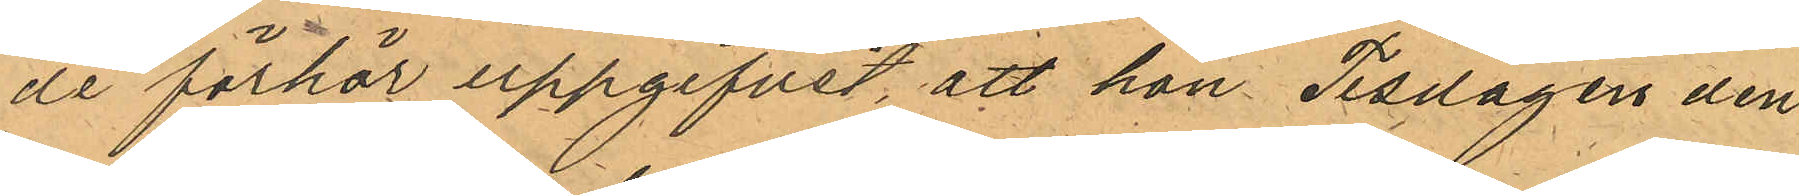de förhör uppgifvit att hon Tisdagen den
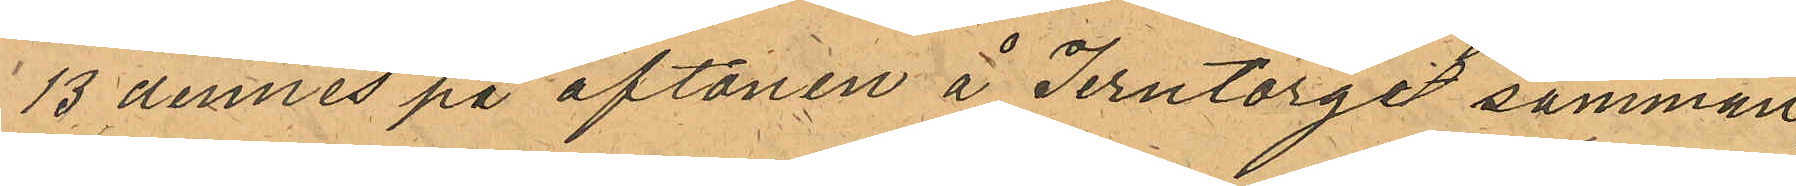13 dennes på aftonen å Jerntorget samman¬
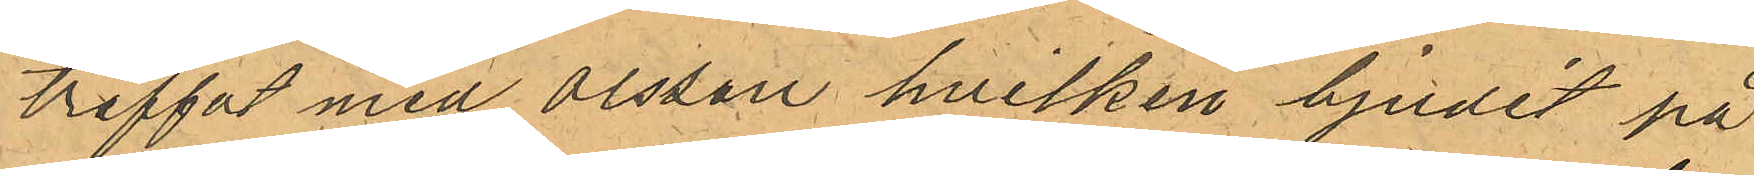träffat med Olsson hvilken bjudit på
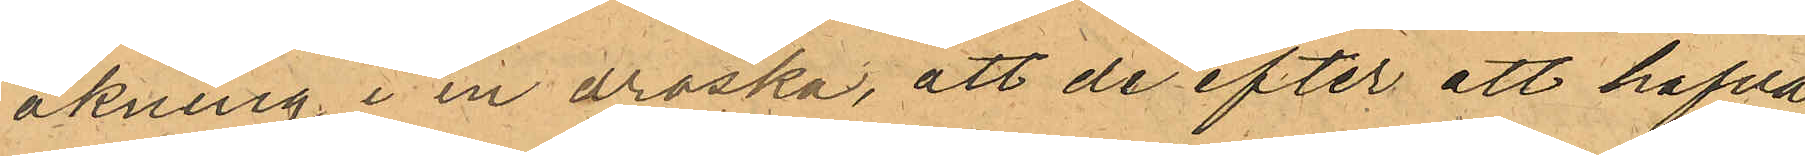åkning i en droska, att de efter att hafva
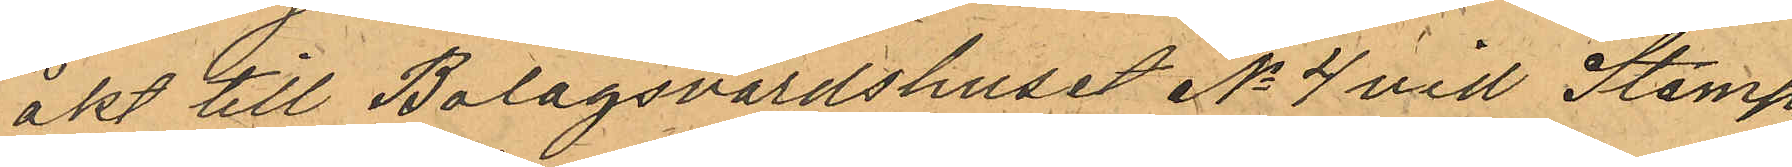åkt till Bolagsvärdshuset No 4 vid Stamp¬
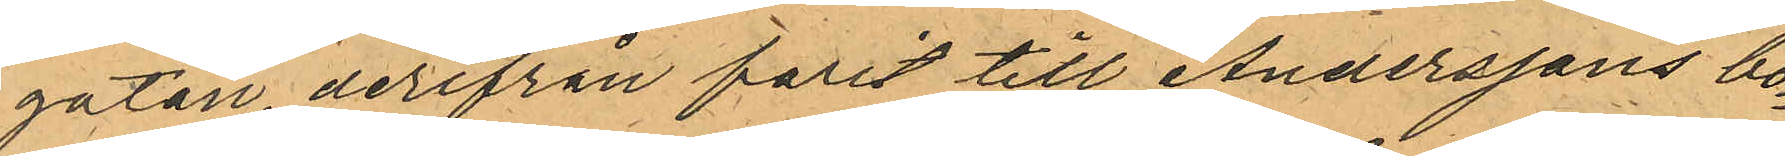gatan, derifrån farit till Anderssons bo¬
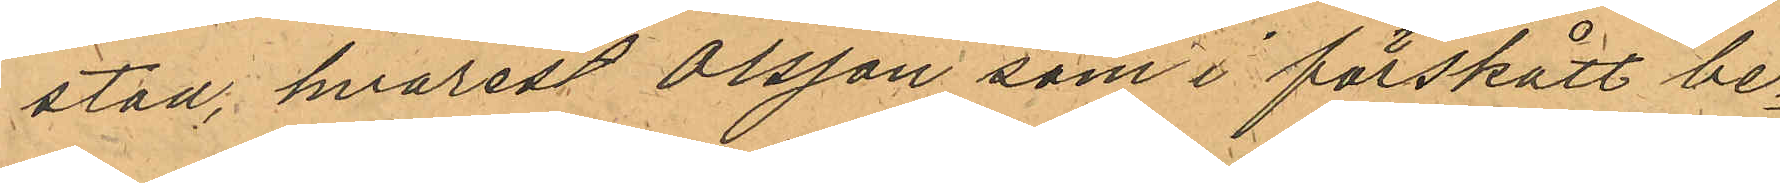stad, hvarest Olsson som i förskått be¬
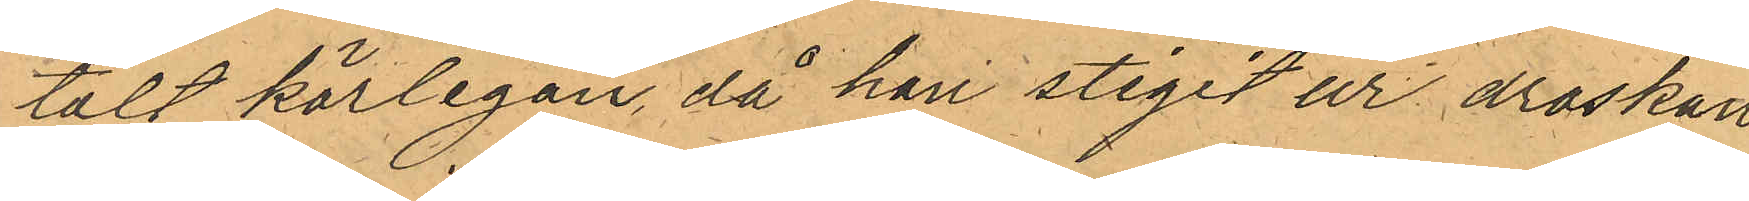talt körlegan, då han stigit ur droskan
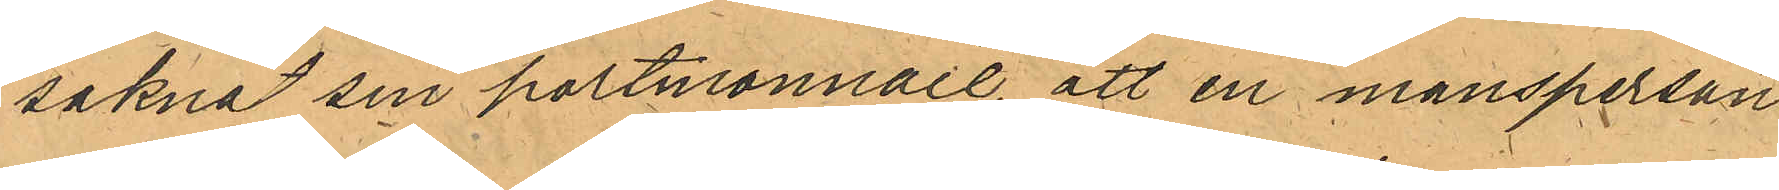saknat sin portmonnaie, att en mansperson
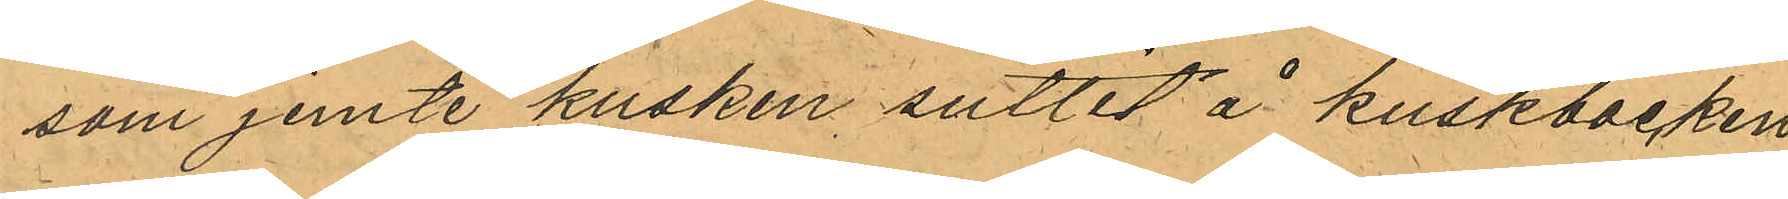som jemte kusken suttit å kuskbocken
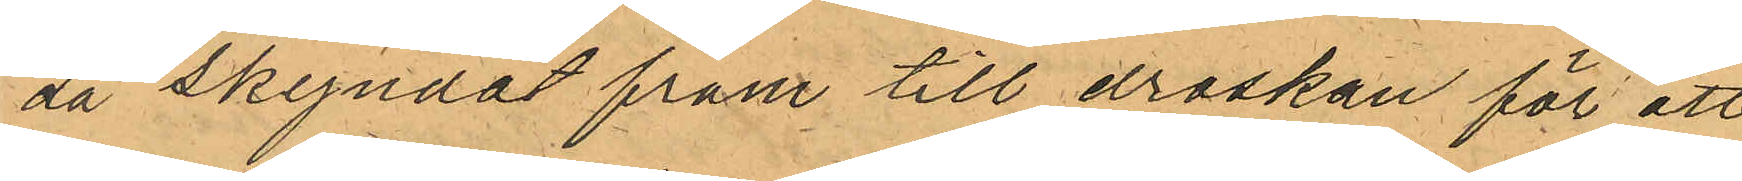då skyndat fram till droskan för att
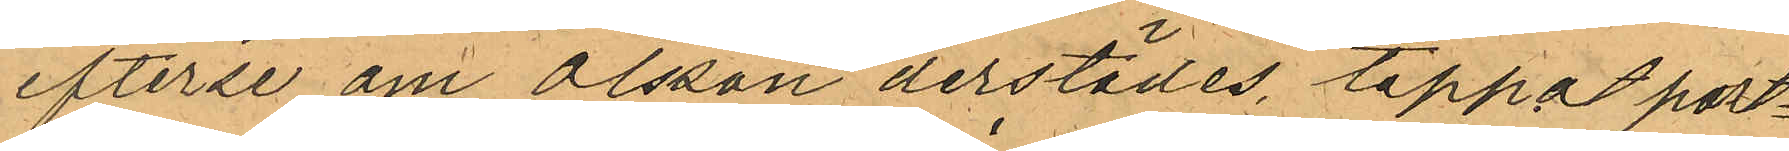efterse om Olsson derstädes tappat port¬
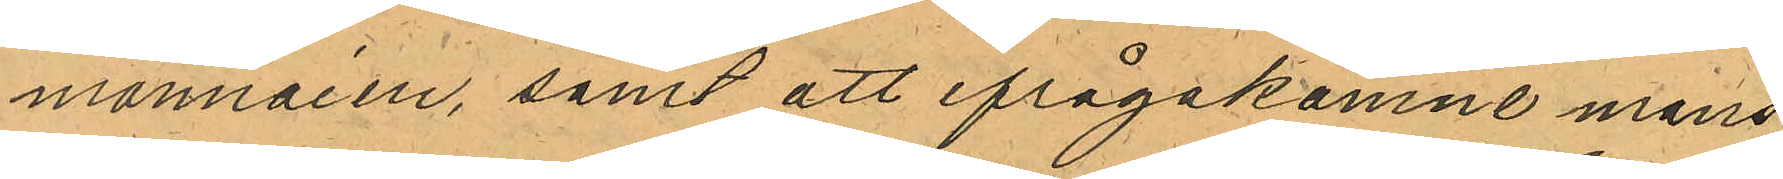monnaien, samt att ifrågakomne mans¬
